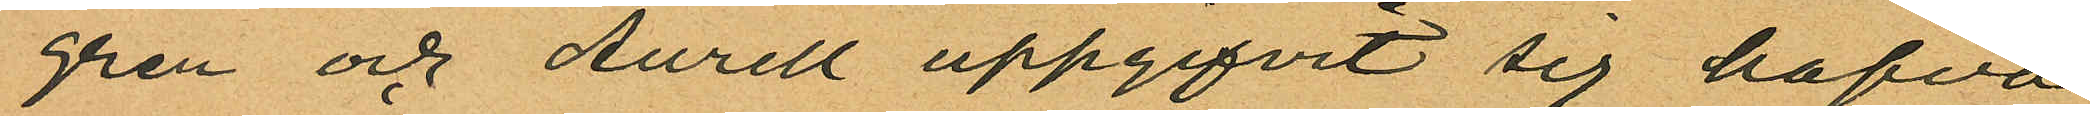gren och Aurell uppgifvit sig hafva
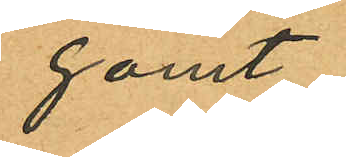gömt
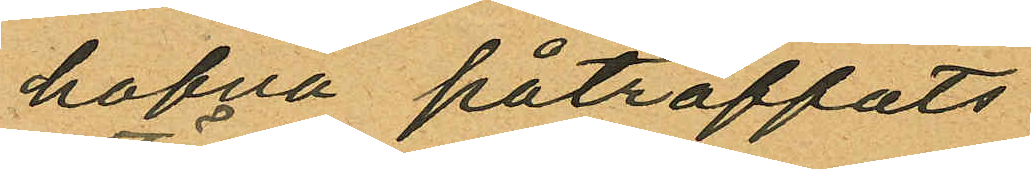hafva påträffats
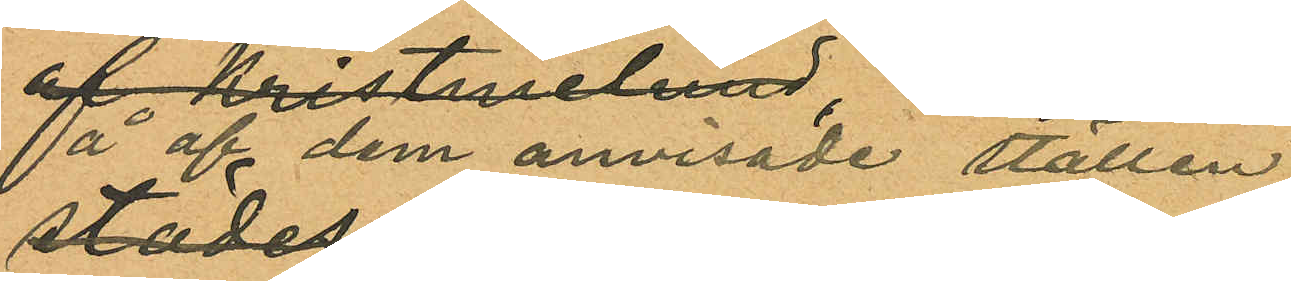å af dem anvisade ställen.
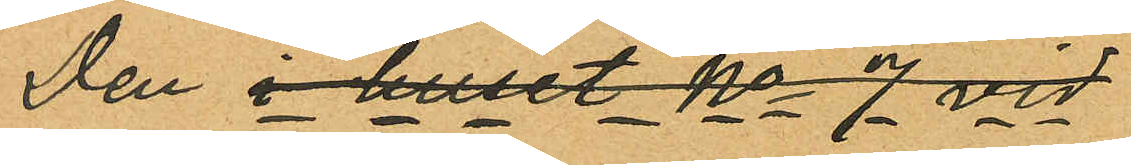Den i huset No 7 vid
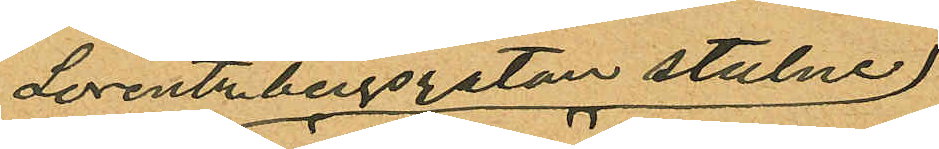Lorentzbergsgatan stulne
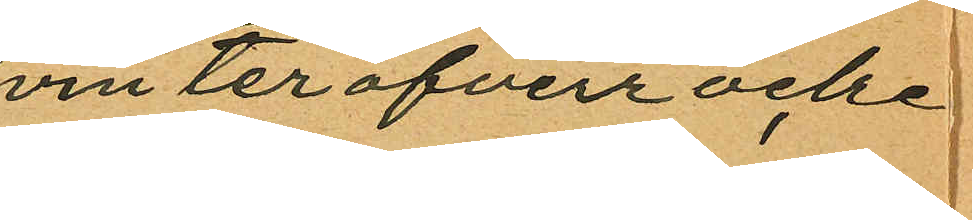vinteröfverrocke
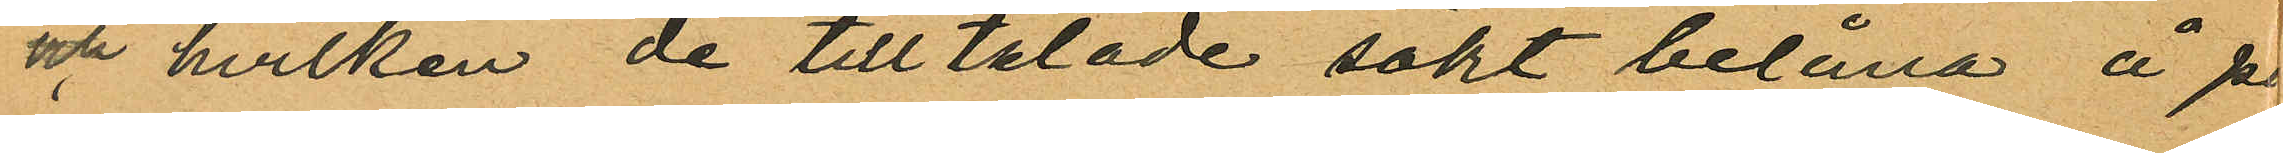och hvilken de tilltalade sökt belåna å p
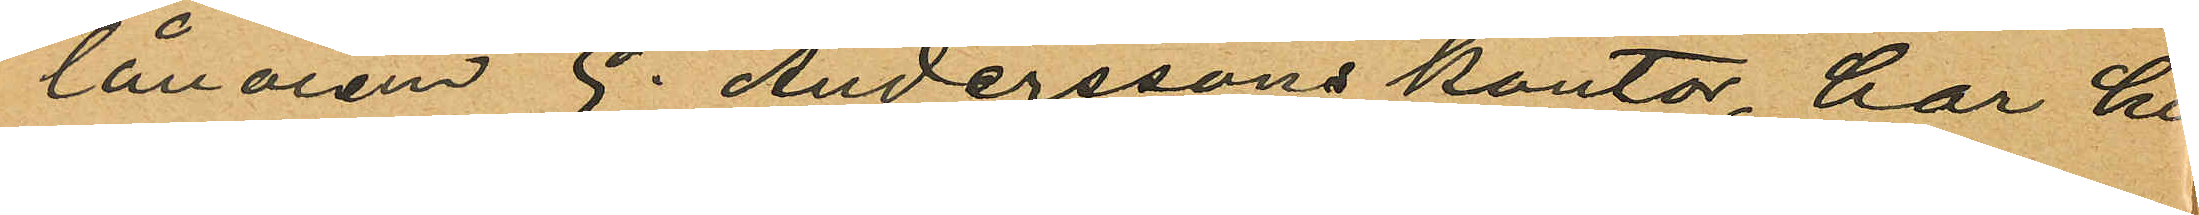lånaren G. Anderssons kontor, har hi
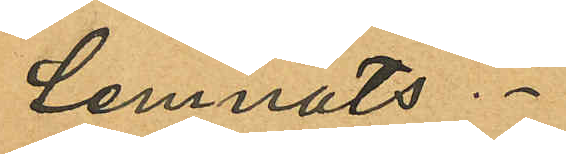lemnats.
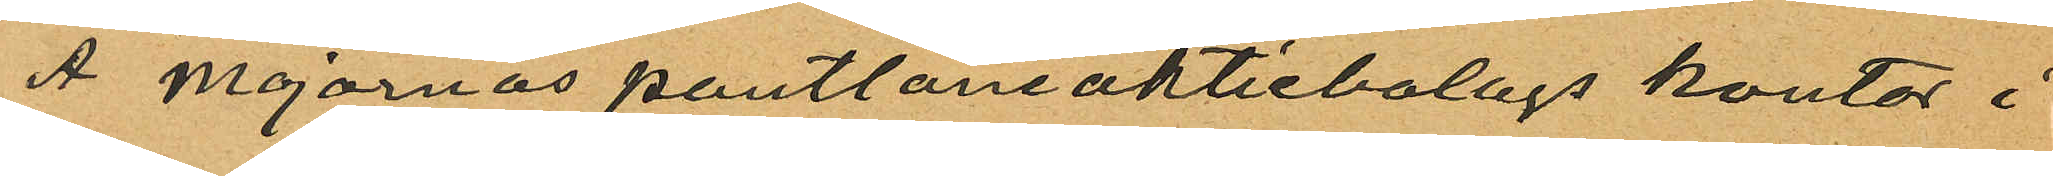A Majornas pantlåneaktiebolags kontor i
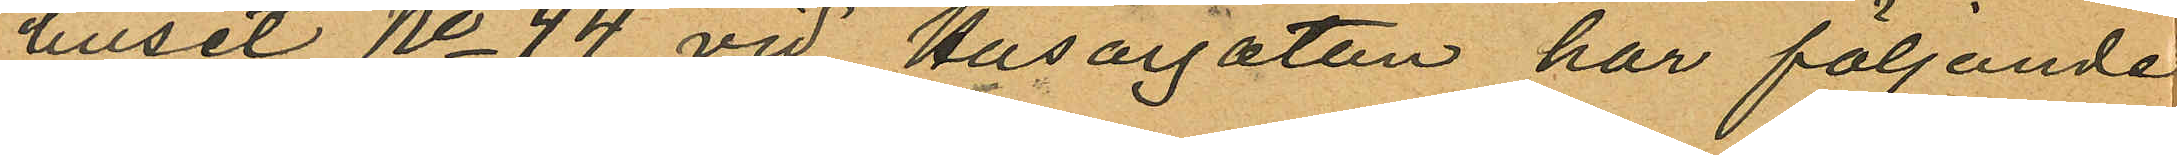huset No 44 vid Husargatan har följande
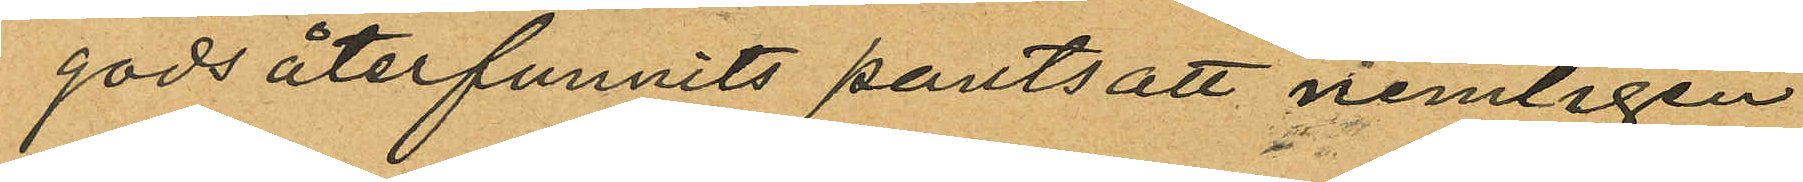gods återfunnits pantsatt nemligen
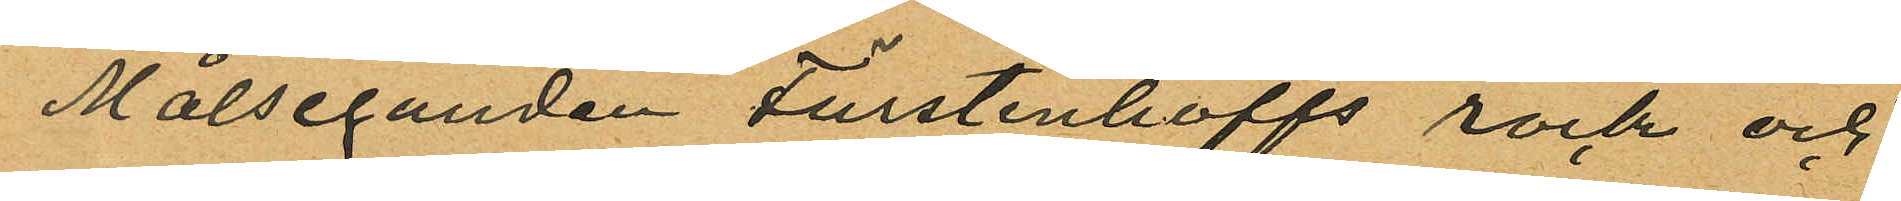Målseganden Fürstenhoffs rock och
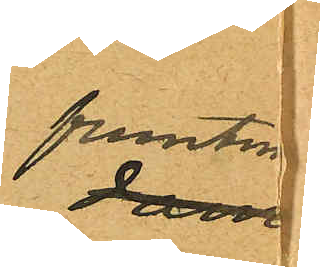fruntim
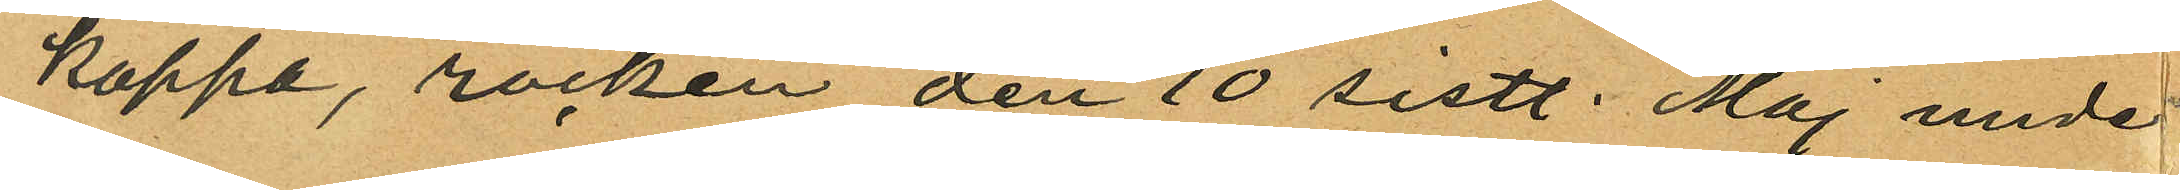kappa, rocken den 10 sistl. Maj unde
